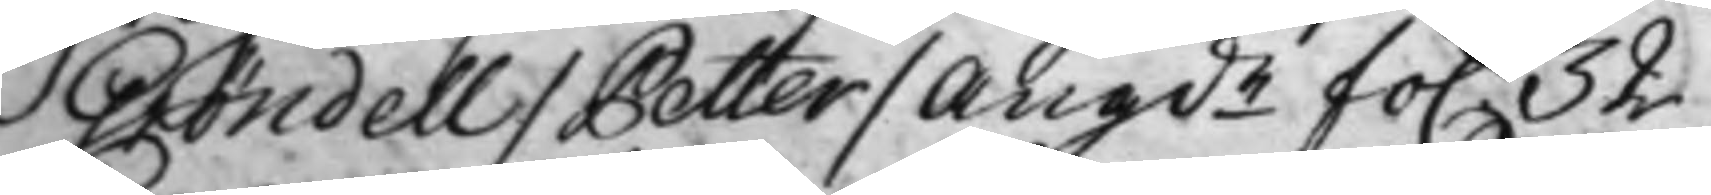Gröndell / Petter / Angde fo. 32
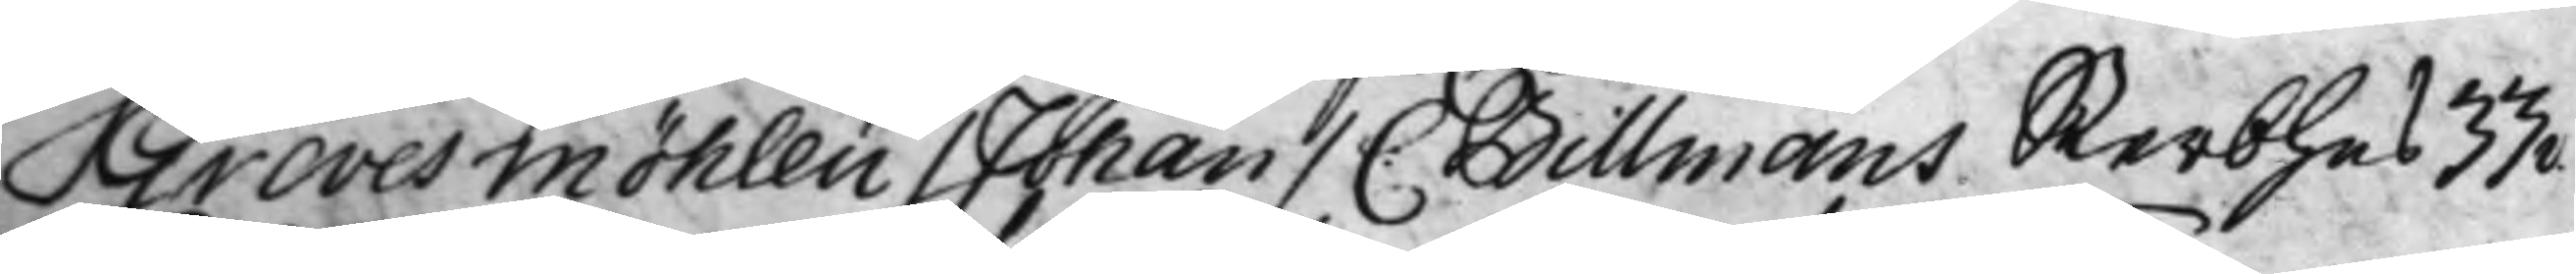Grevesmöhlen / Johan / C: Billmans Sterbhus 33v.
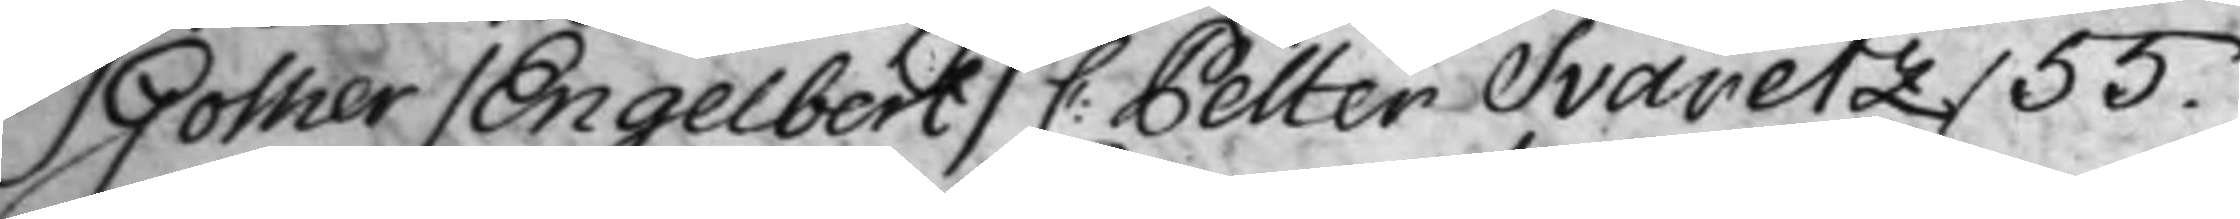Gother / Engelbert / C: Petter Svaretz / 55.
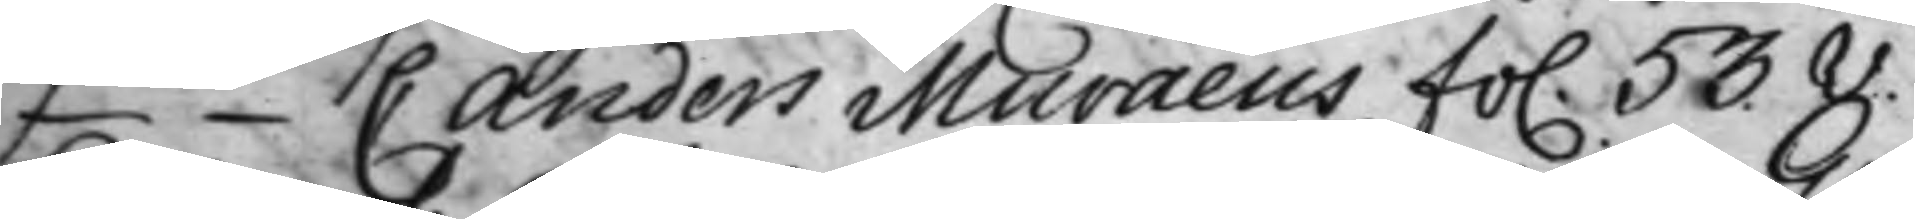-""- C Anders Muraeus fo. 53.v.
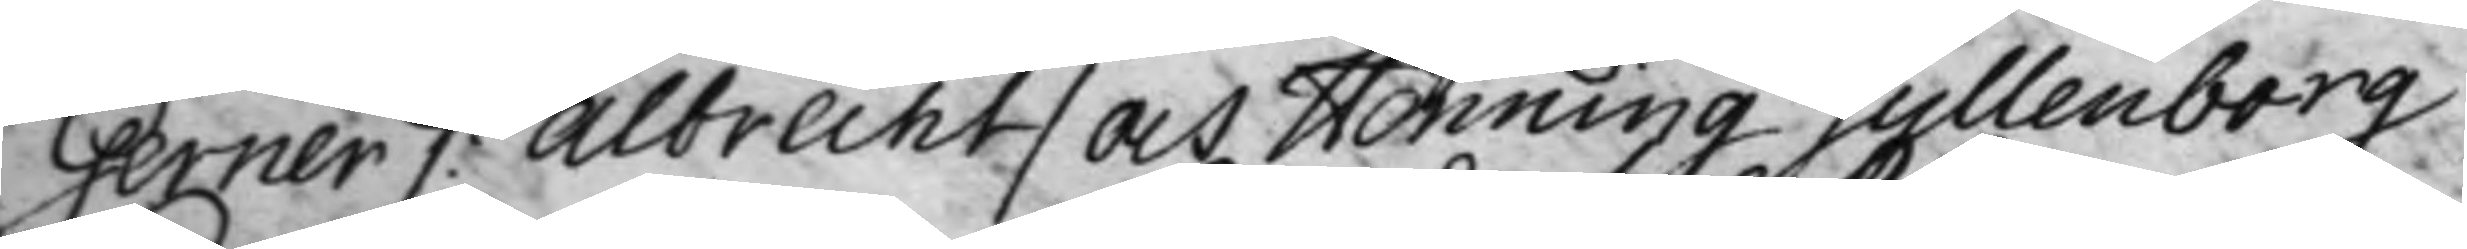Gerner /: Albrecht / och Henning Gyllenborg
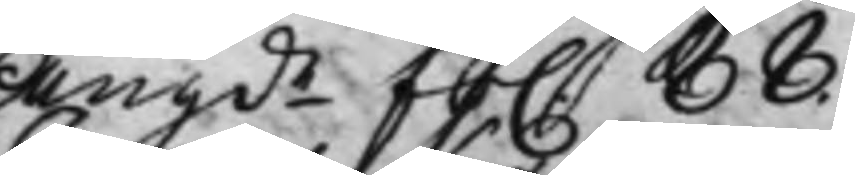Angde fo. 88.
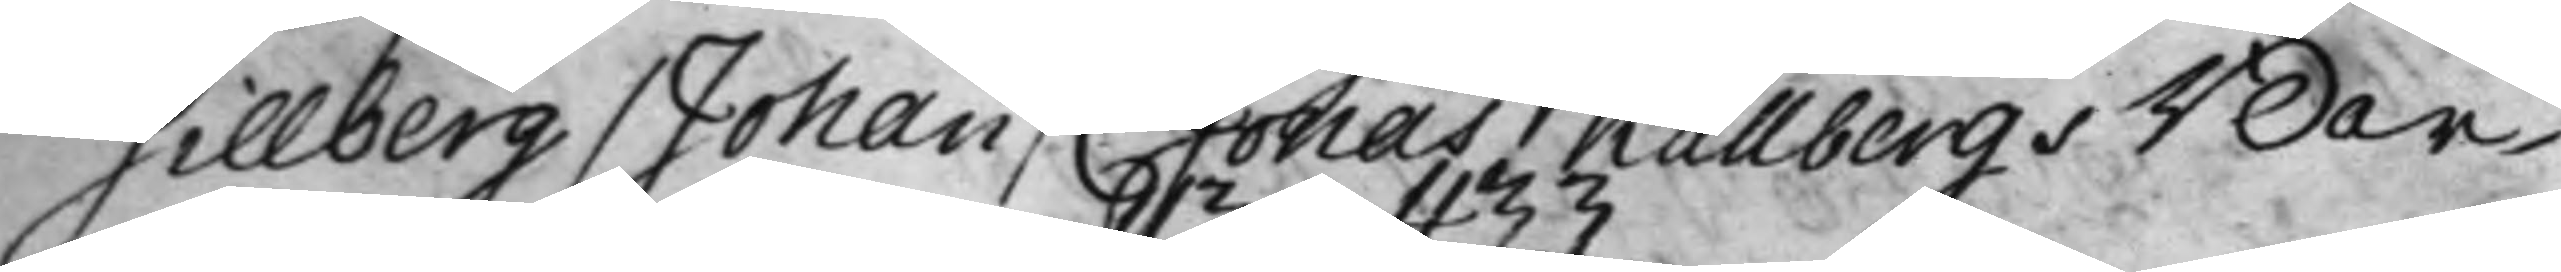Gillberg / Johan / C: Jonas Kallbergs Bor¬
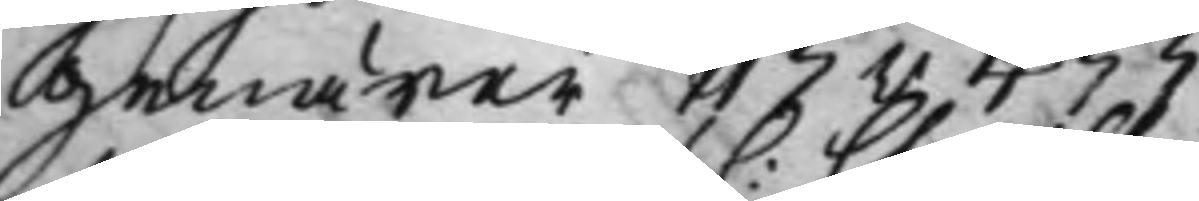genärer 113v  433.
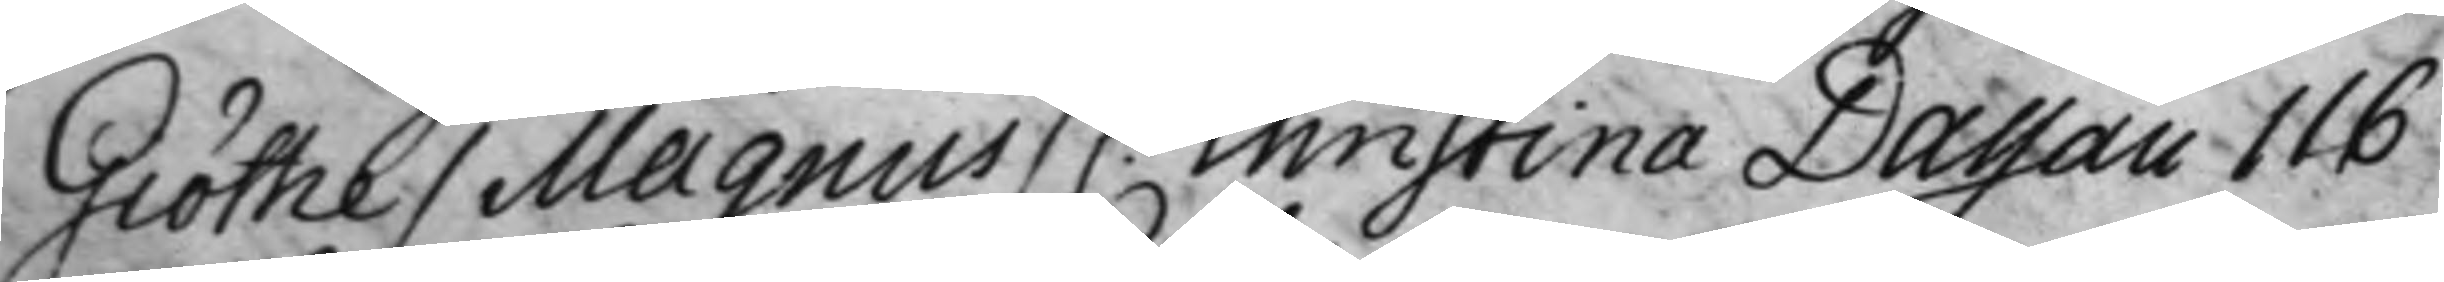Giöthe / Magnus / C: Christina Dassau 116
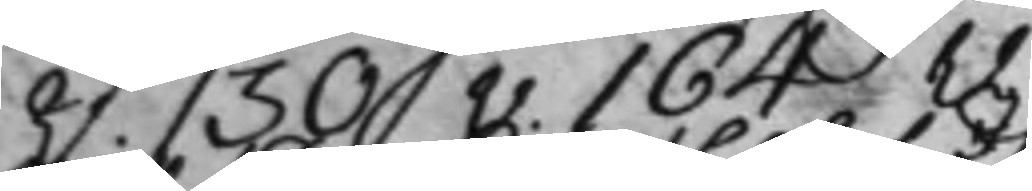v. 130v. 164v
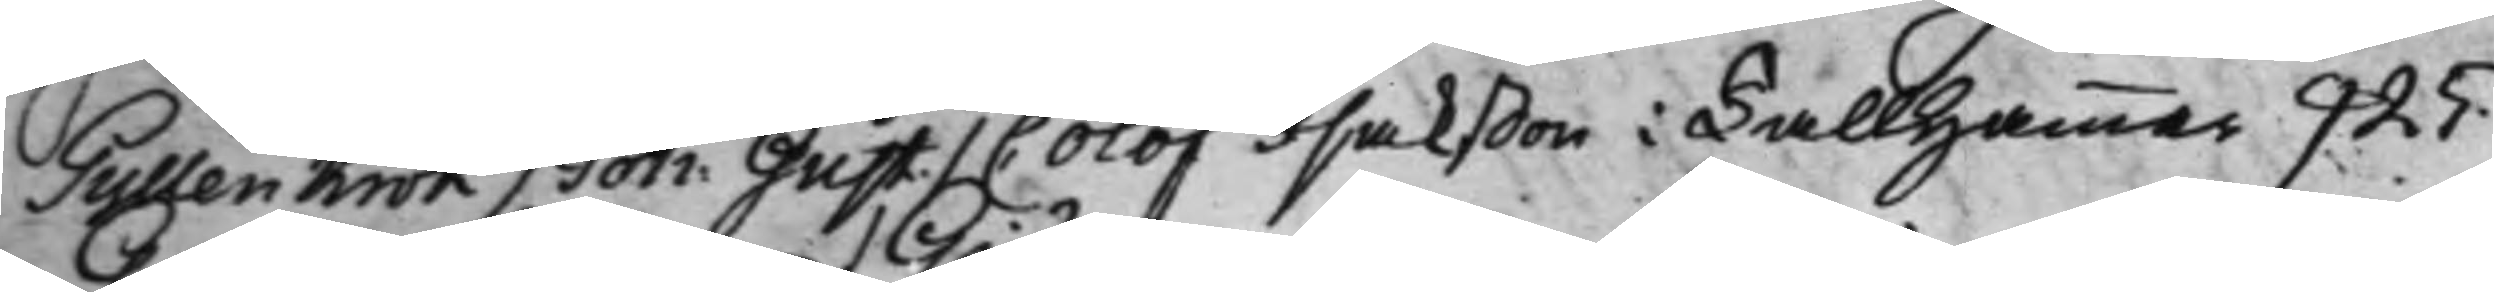Gyllenkrok / Joh: Gust. / C: Olof Isakßon i Tallhammar 925.
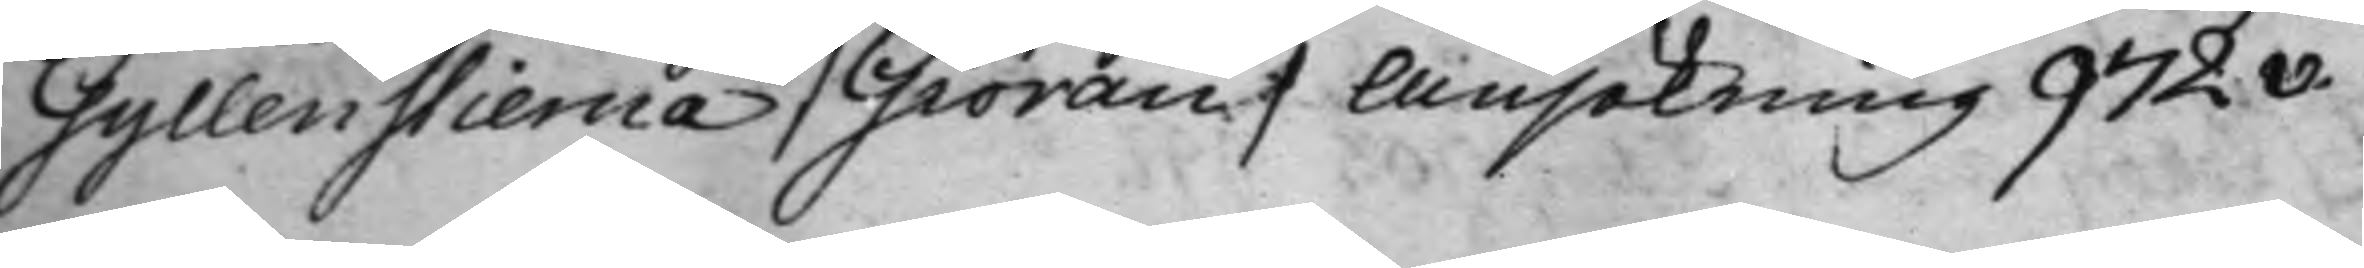Gyllenstierna / Giöran / Ansökning 972v.
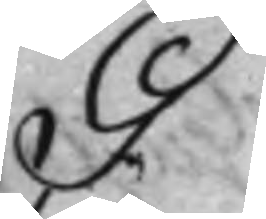G.
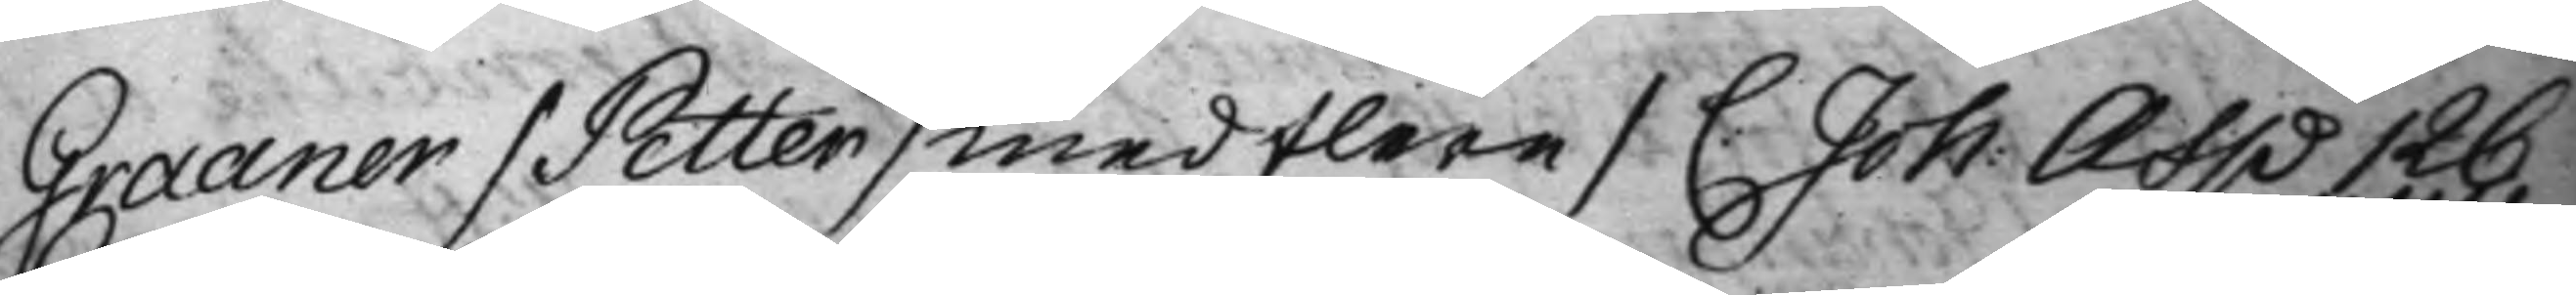Graaner / Petter / med flere / C. Joh: Asp 126
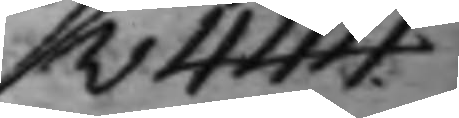v 444.
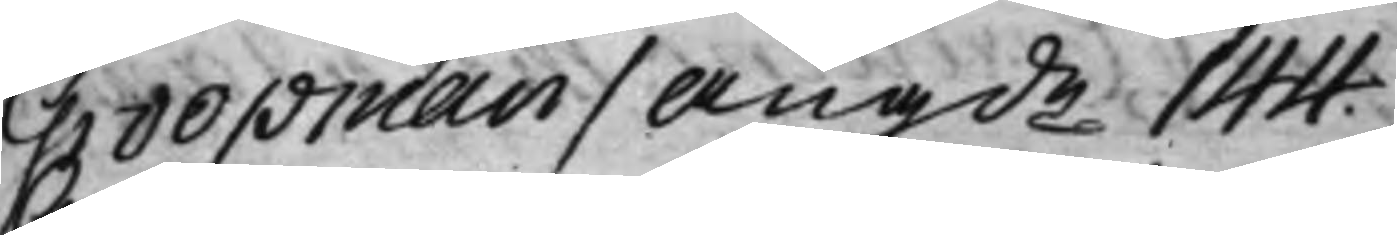Groopman / Angde 144.
